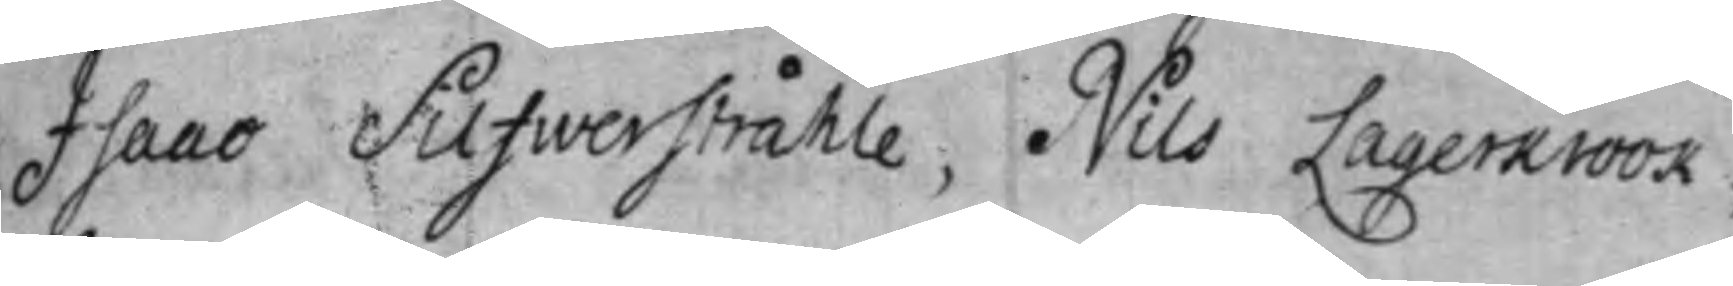Isaac Silfwerstråhle, Nils Lagerkrook,
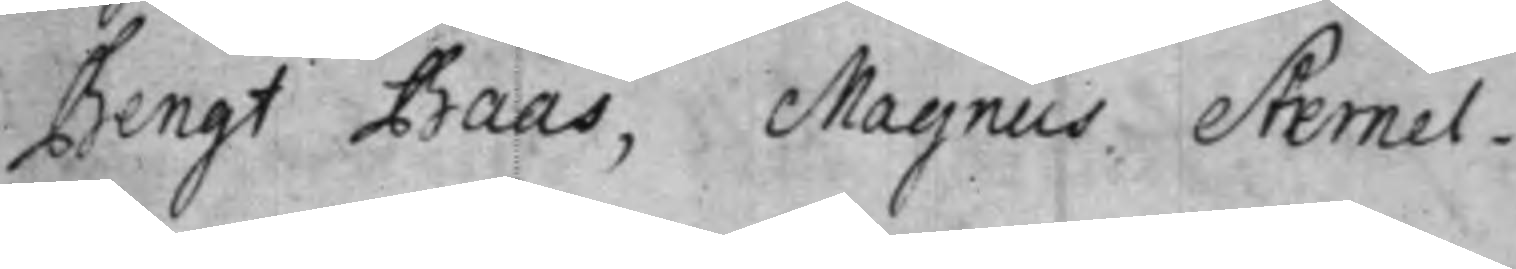Bengt Baas, Magnus Sternel.
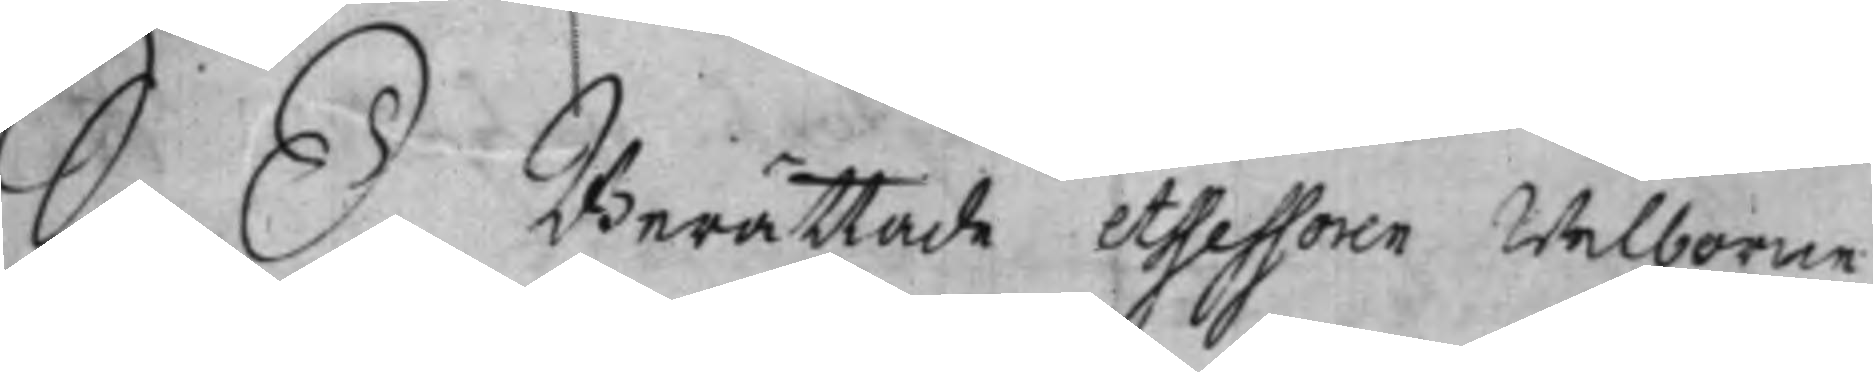S. D. Berättade Assessoren Welborne
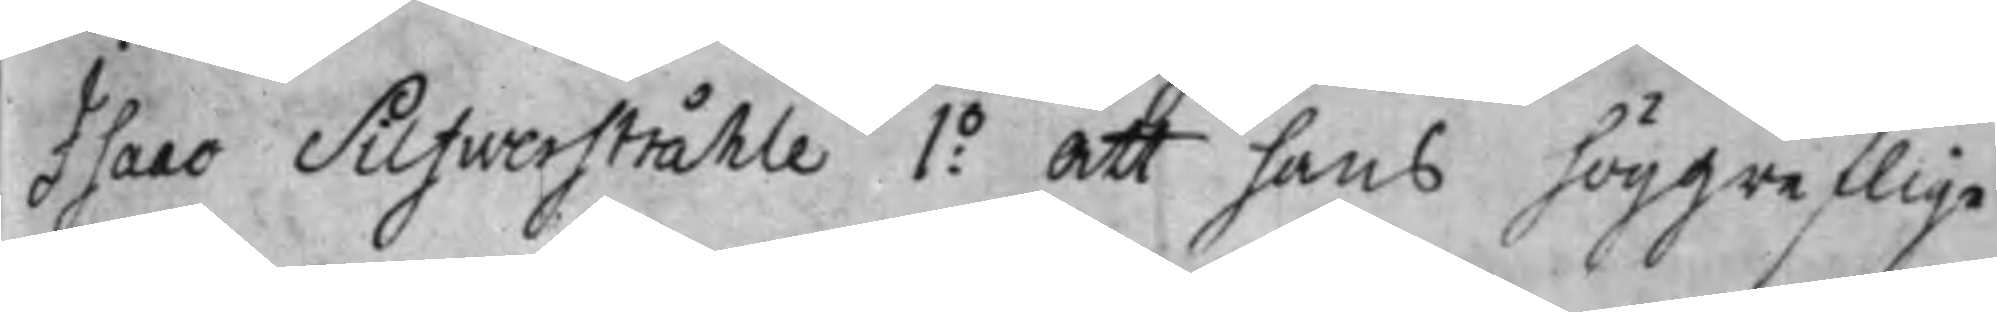Isaac Silfwerstråhle 1:o att hans höggreflige
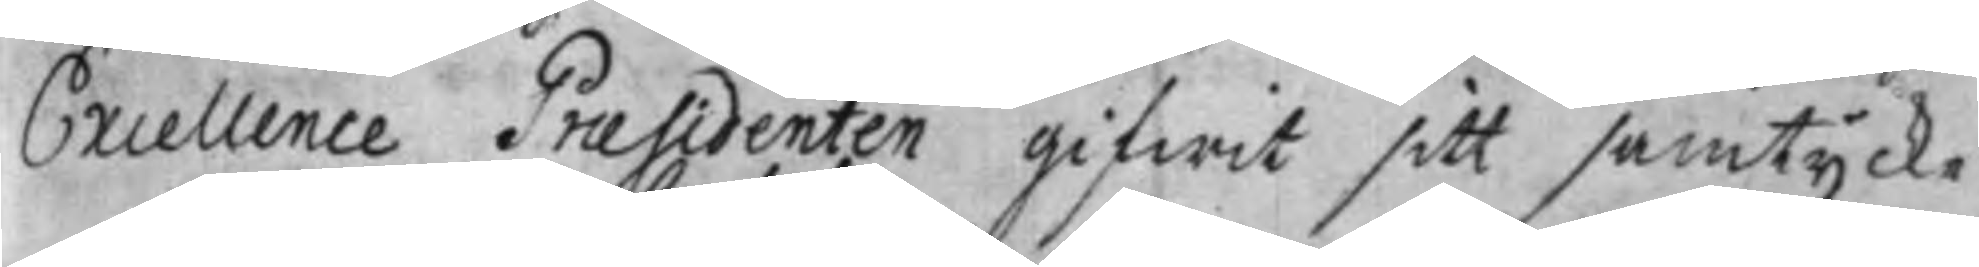Excellence Praesidenten gifwit samtycke
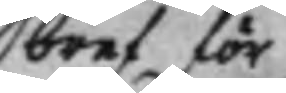bref för
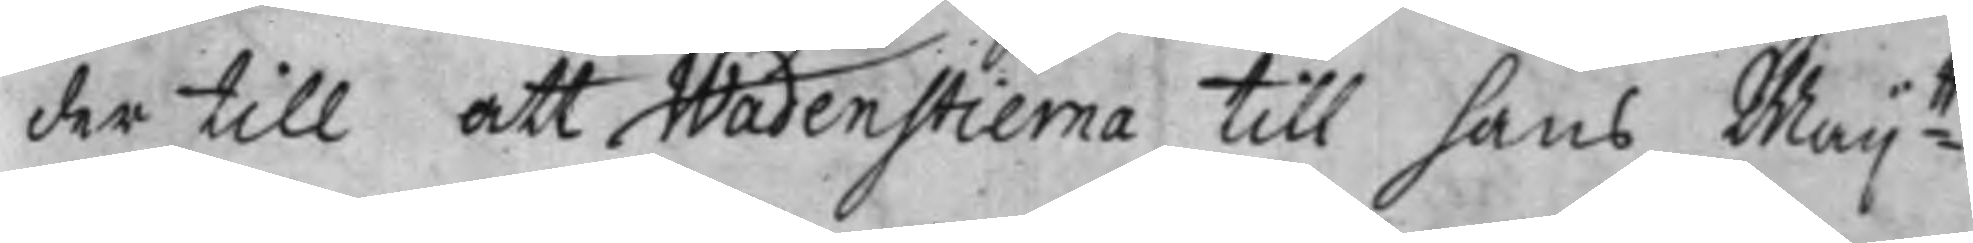der till att Wadenstierna till hans Maij:tt
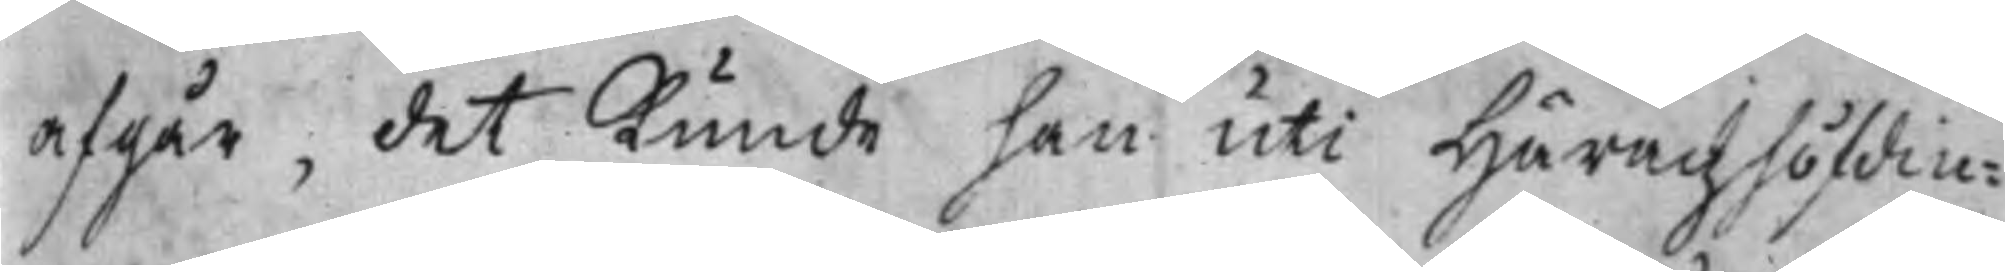afgår, det kunde han uti Häradzhöfdin¬
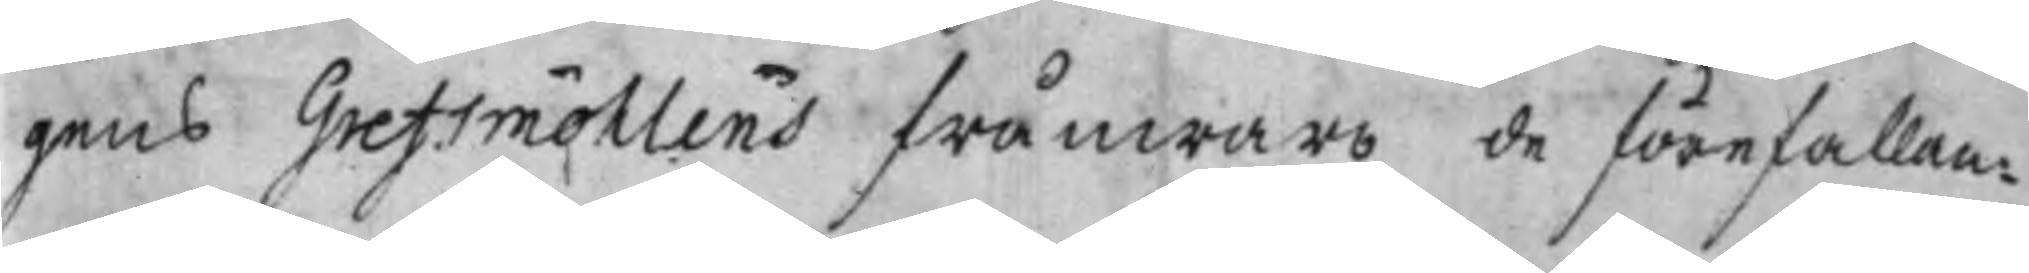gens Grefsmöhlens frånwaro de förefallan¬
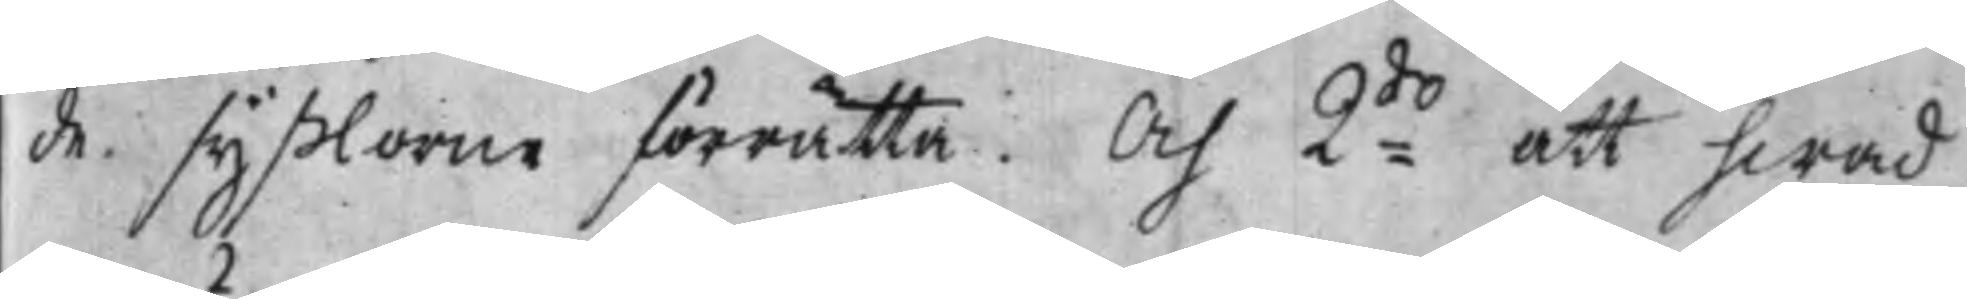de syßlorne förrätta. Och 2:do att hwad
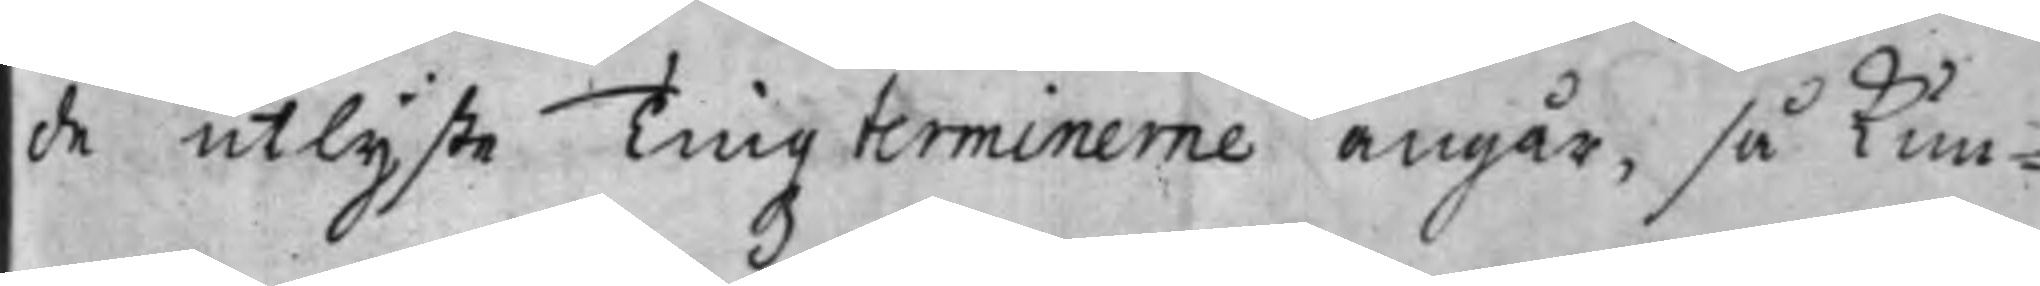de utlyste Tingz terminerne angår, så Kun¬
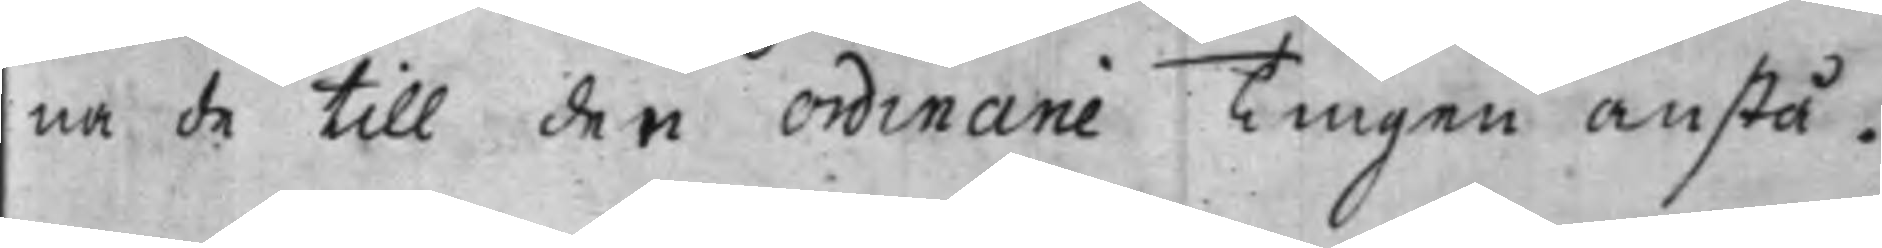na de till den Ordinarie Tingen anstå.
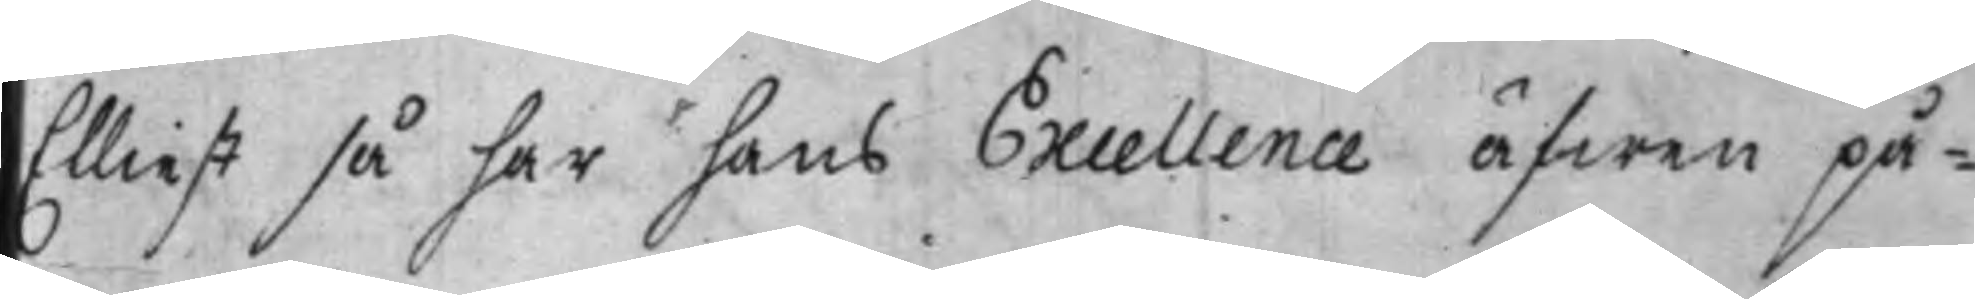Elliest så har hans Excellence äfwen på¬
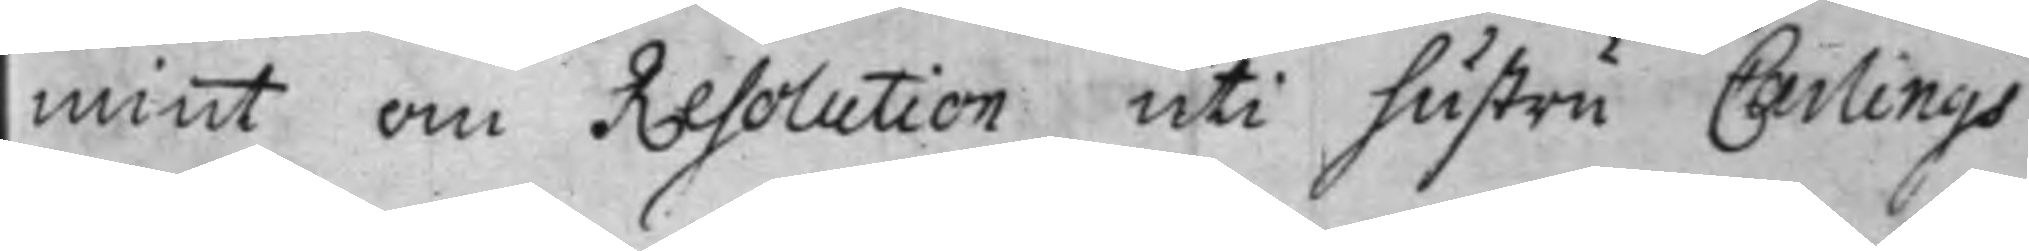mint om Resolution uti hustru Carlings
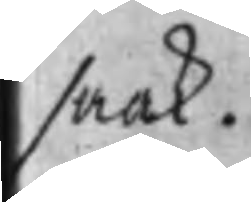saak.
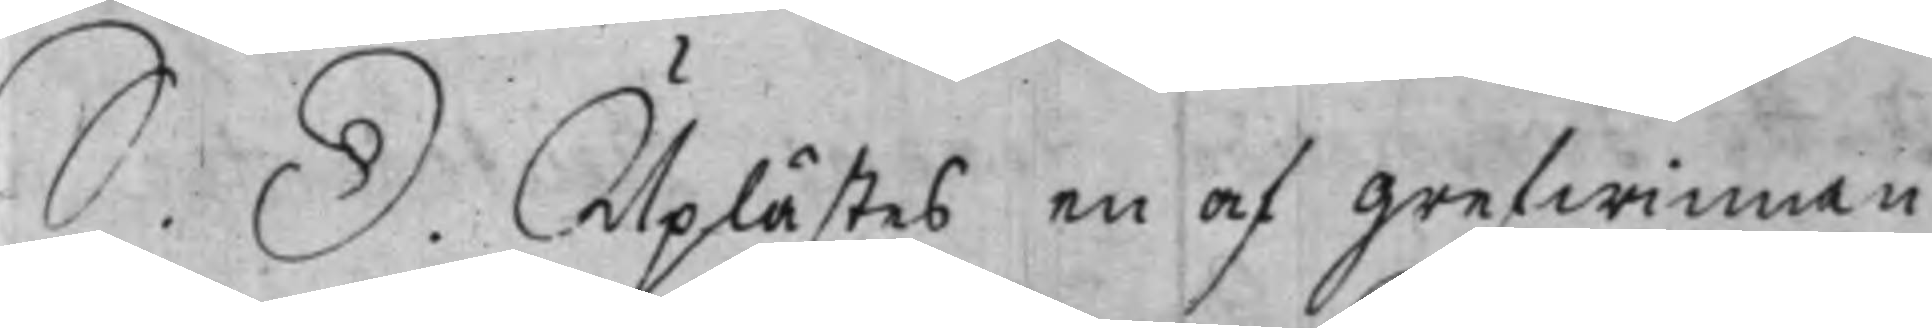S. D. Uplästes en af Grefwinnan
